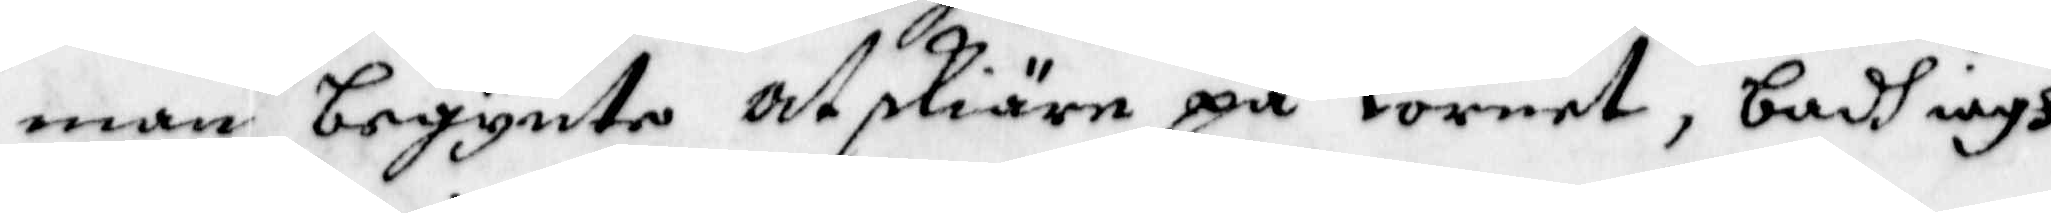man begynte at skiäre på kornet, badh iagh
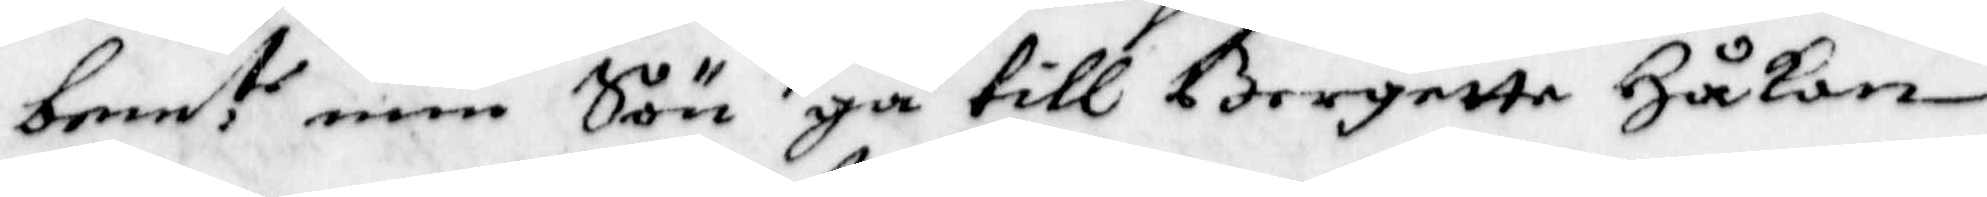bem:te min Sön gå till Bergette Håkan
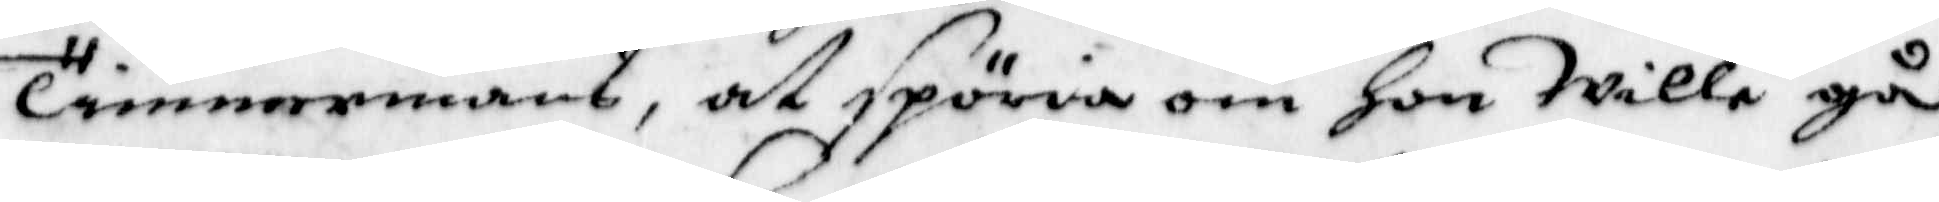Timmermans, at spöria om hon Wille gå
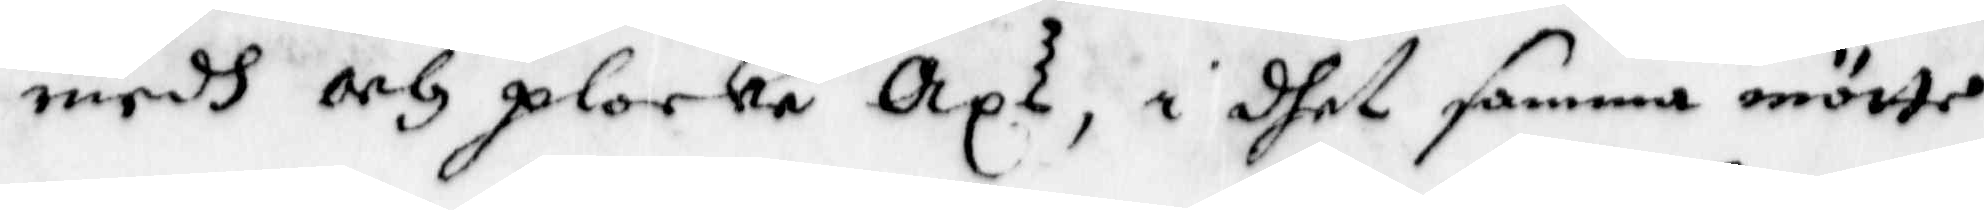medh och plocka Axs, i dhet samma mötte
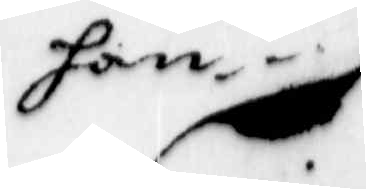han
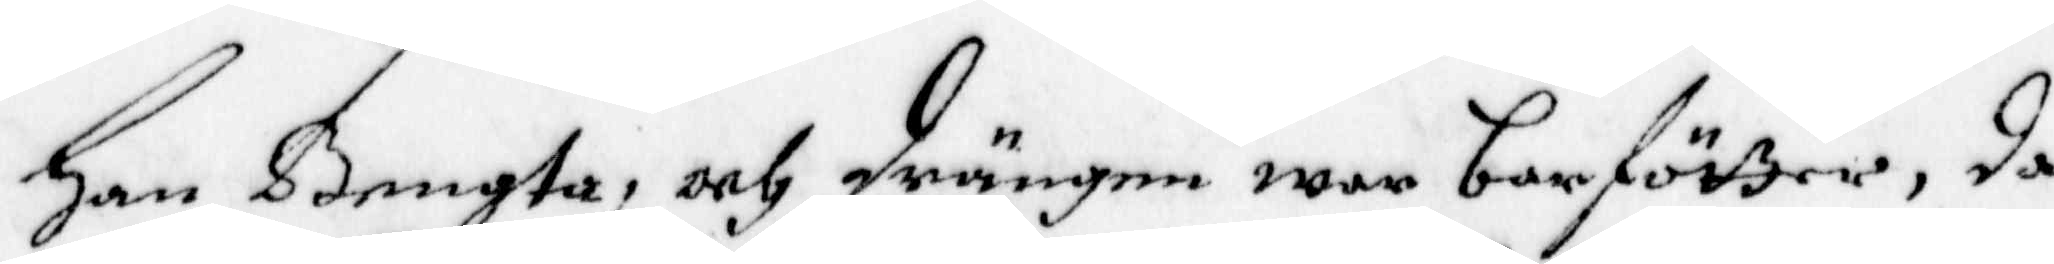Han Bengta, och drängen war barfötter, da
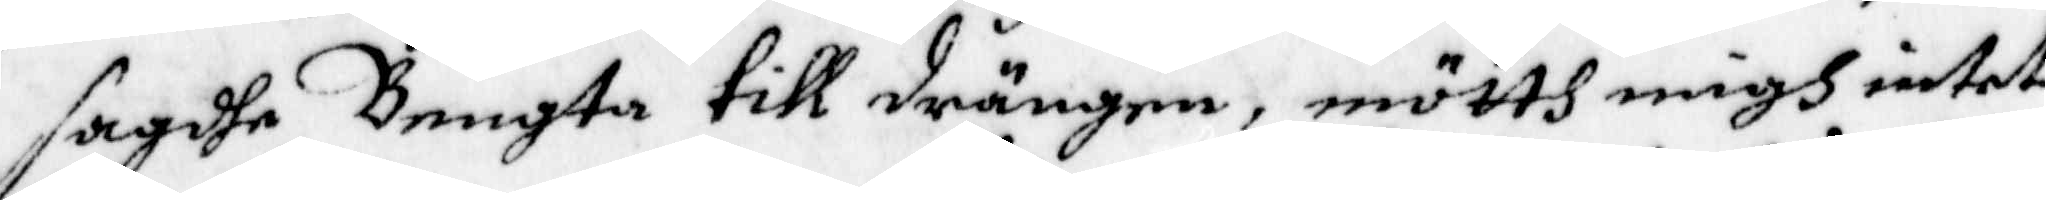sagdhe Bengta till drängen, mötth migh intet
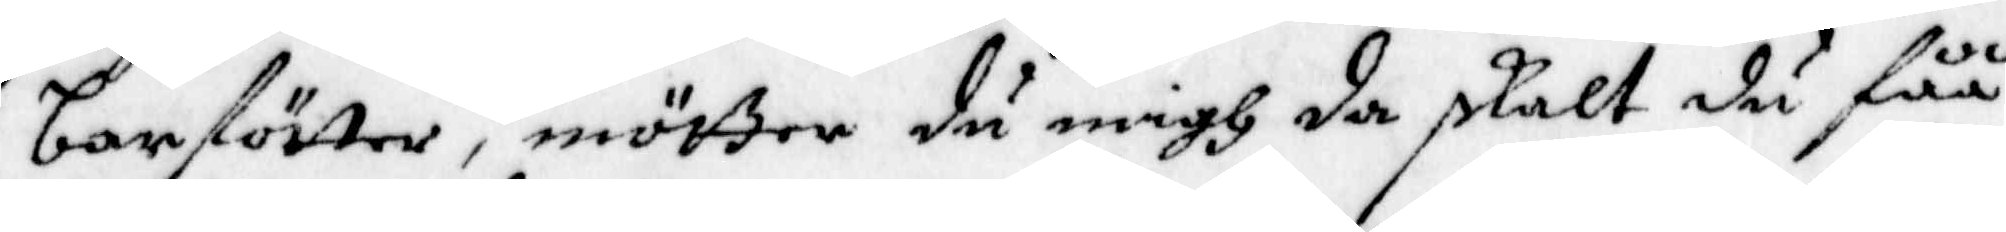barfötter, mötter du migh da skalt du fåå
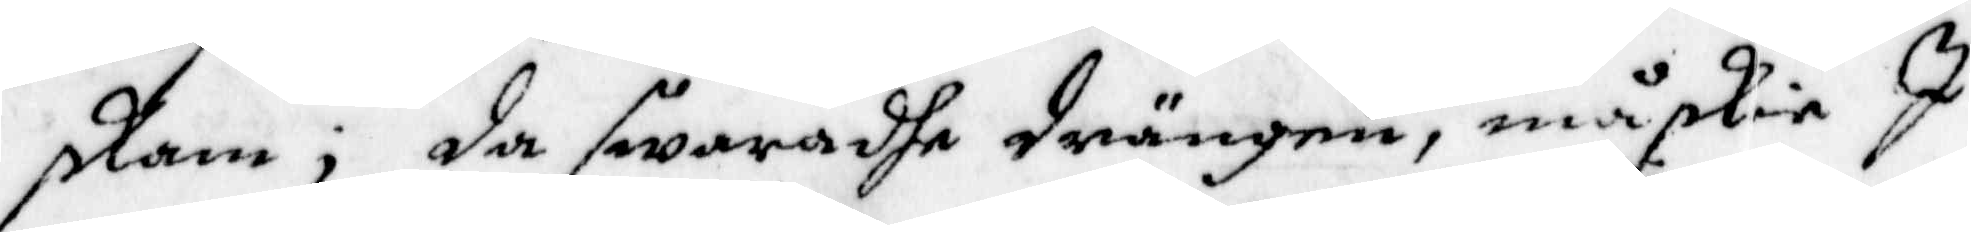skam, da swaradhe drängen, måskia I
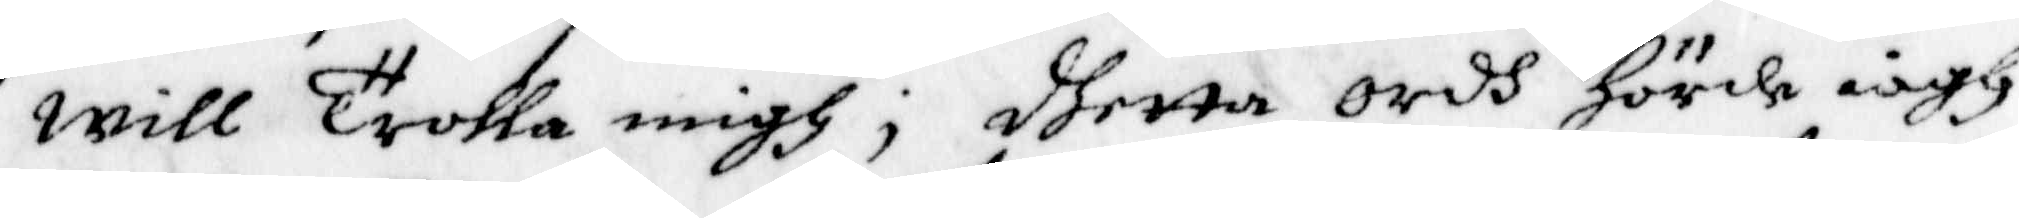will Trolla migh, dhetta ordh hörde iagh
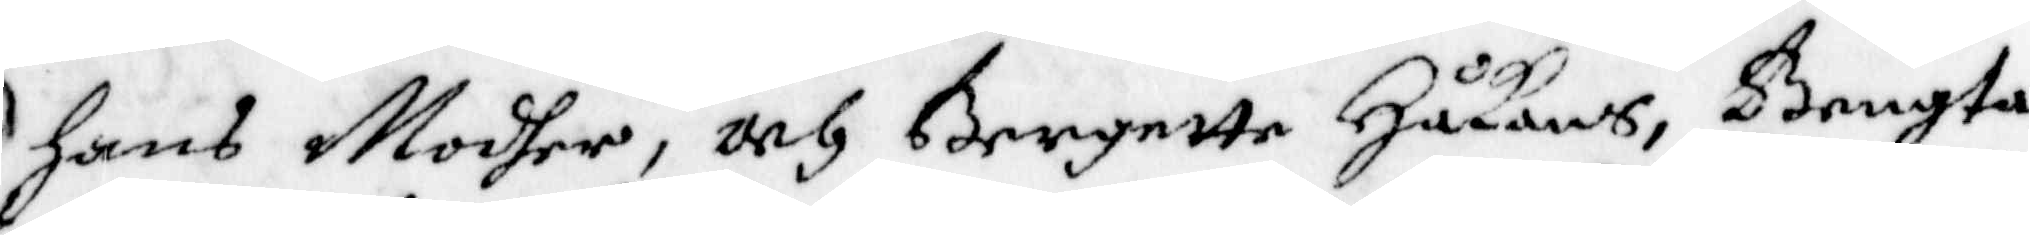Hans Modher, och Bergette Håkans, Bengta
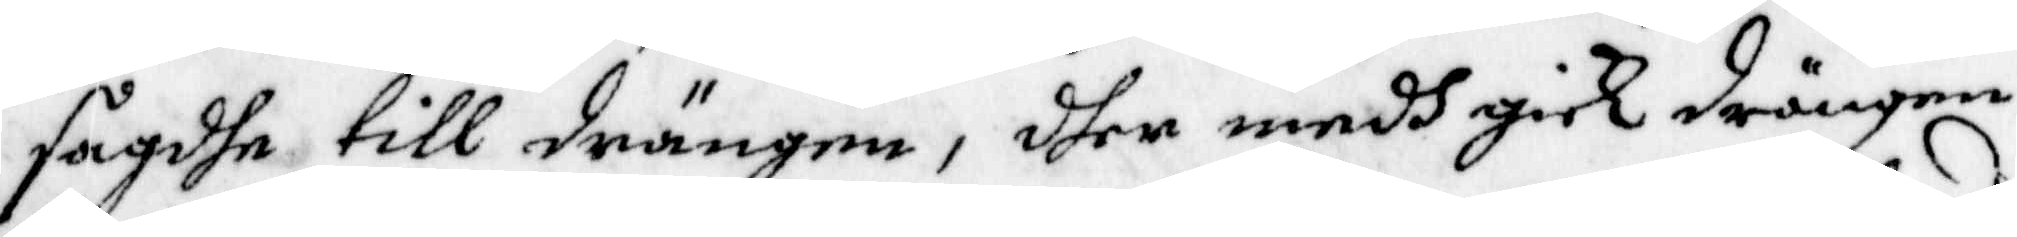sagde till drängen, dher medh gick drängen
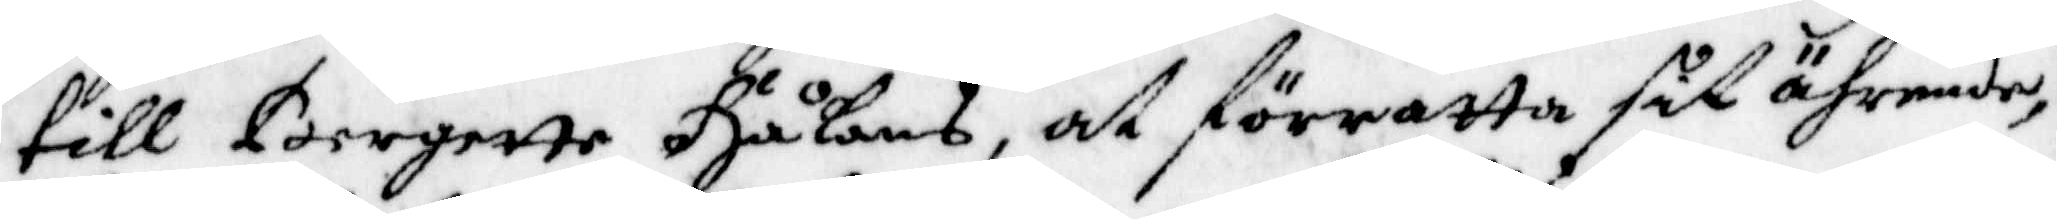till Bergette Håkans, at förratta sit ährende,
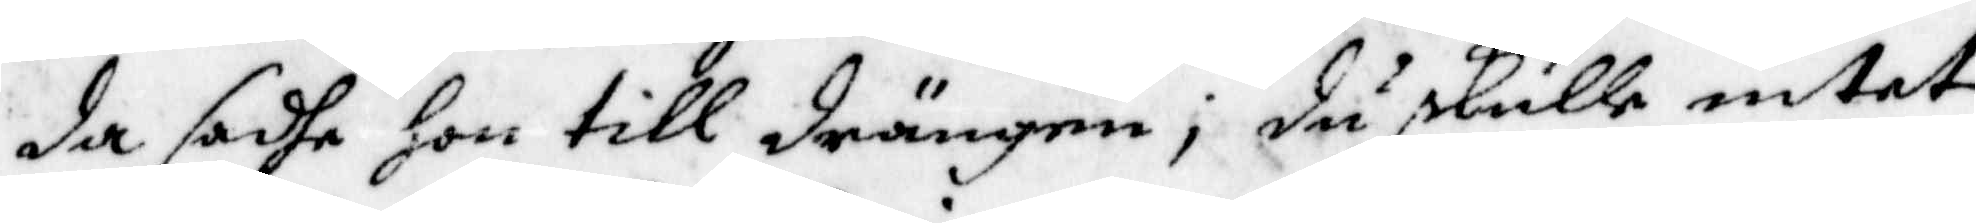da sadhe hon till drängen, du skulle intet
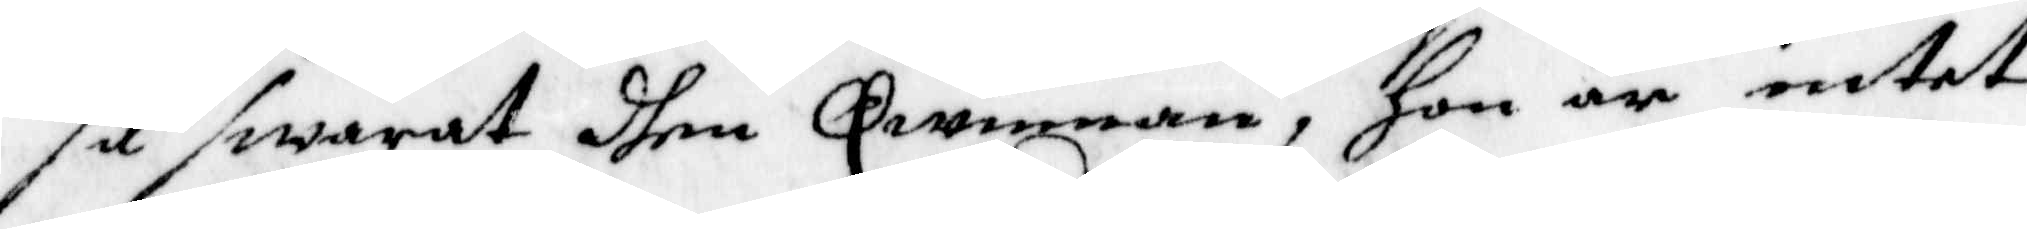så swarat dhen Qwinnan, hon är intet
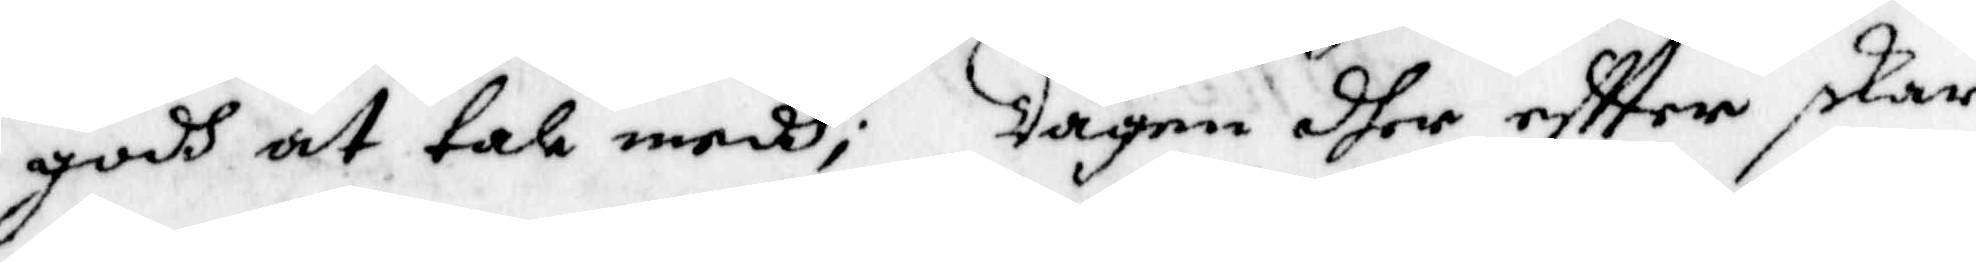godh at tala medh; Dagen dher eftter skar
